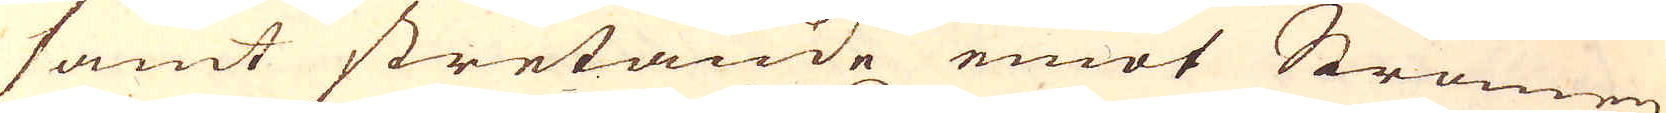samt stretande emot Strömen
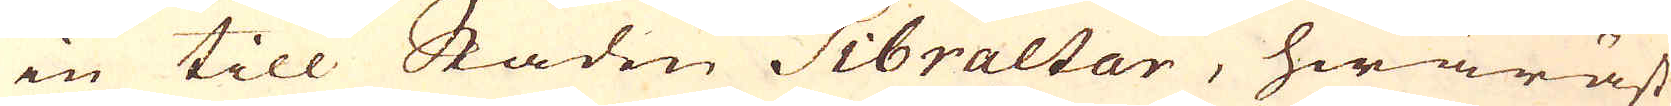in till Staden Gibraltar, hwaräst
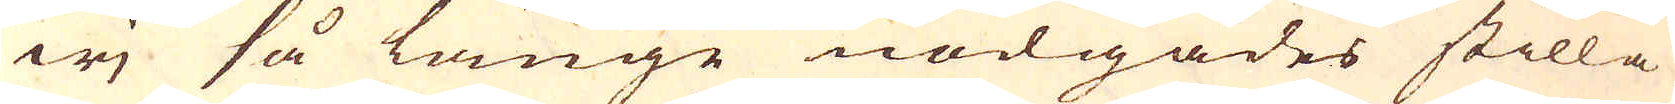wj så länge nödgades stilla
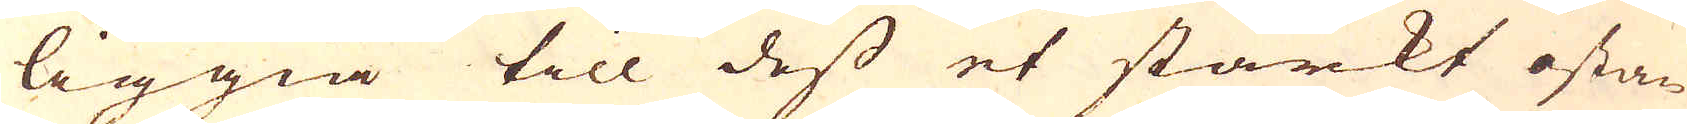liggia till dess et starkt ostan
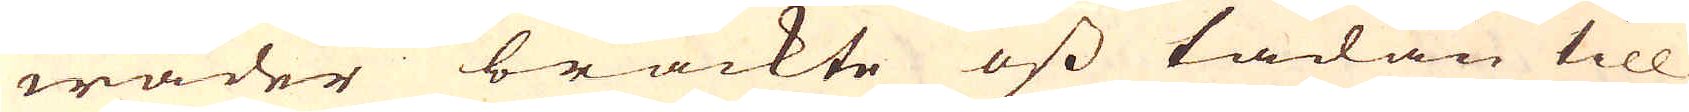wäder brackte oss hädan till
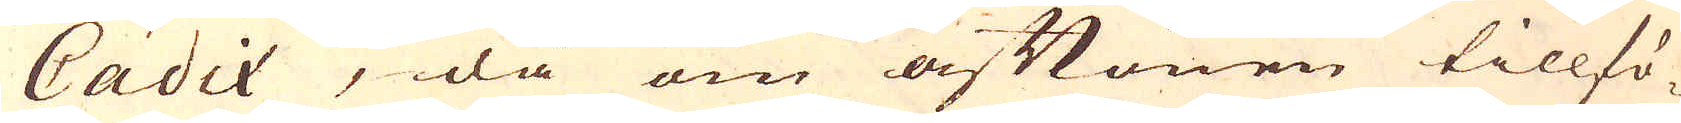Cadix, då om aftonen tillfö-
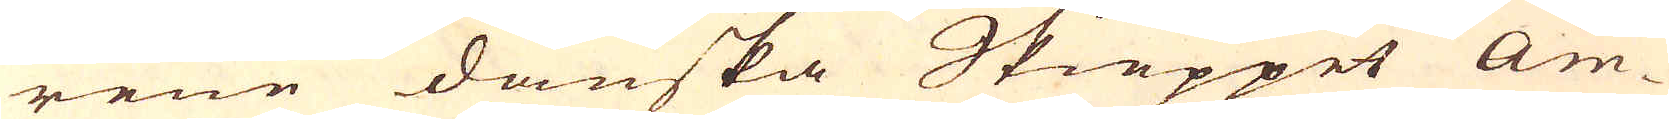rene danska Skieppet Am-
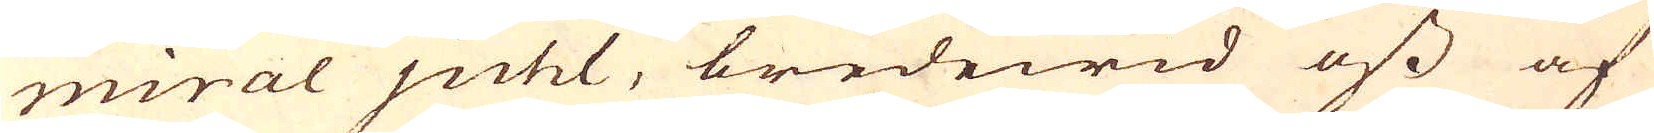miral juhl, bredewid oss af
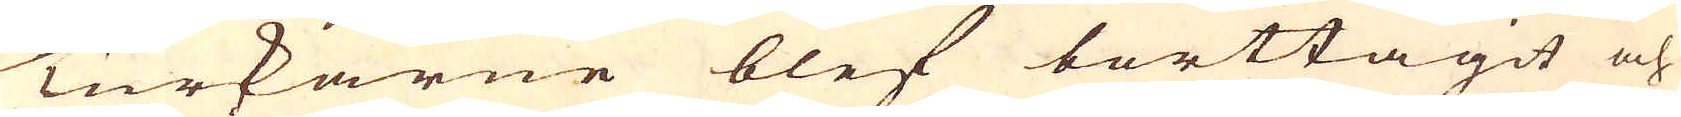Turkarne blef borttagit och
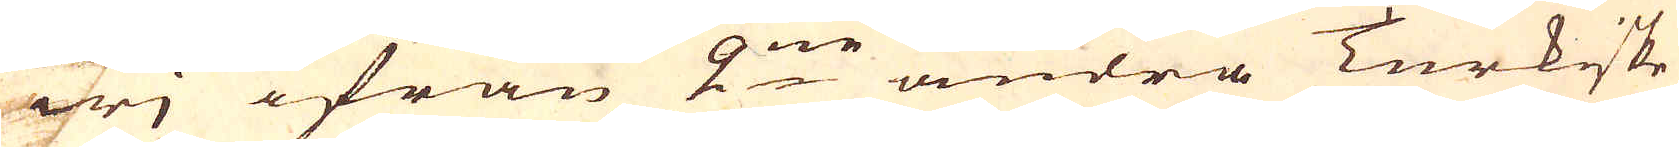wj ifrån 2:ne andra Turkiske
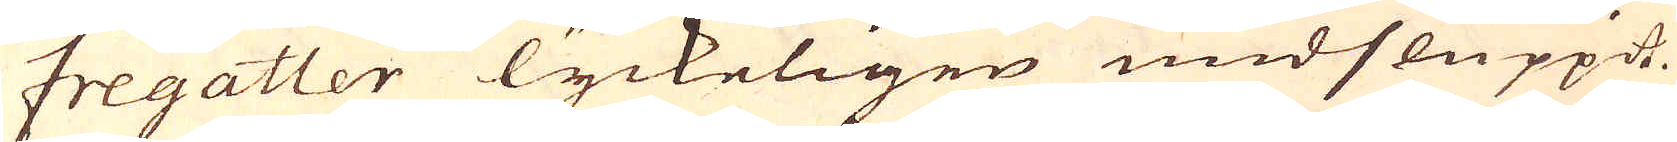Fregatter lyckeligen undsluppit.
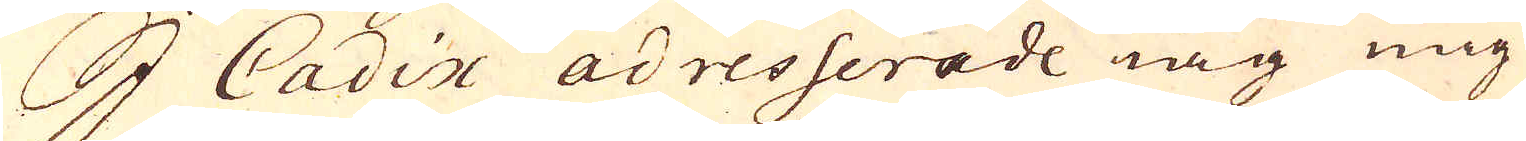I Cadix adresserade iag mig
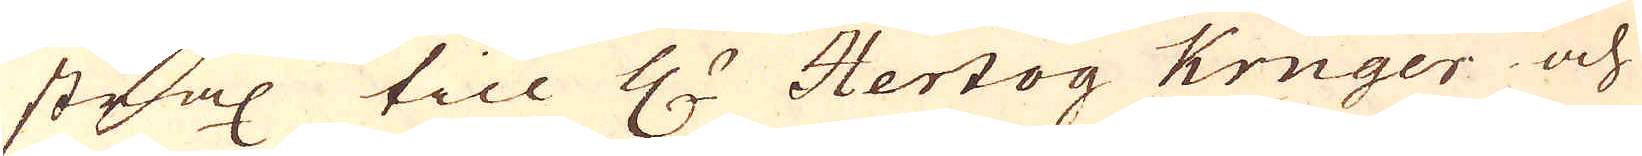strax till H:r Hertog Kruger och
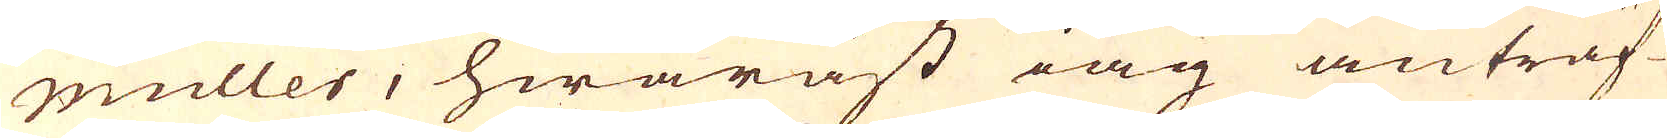muller, hwaräst iag anträf-
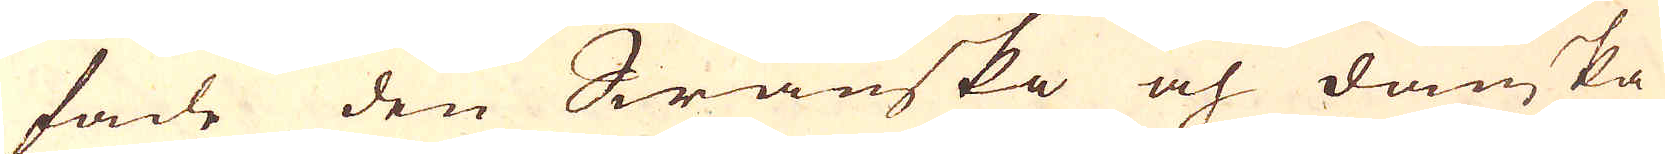fade den Swänska och danska
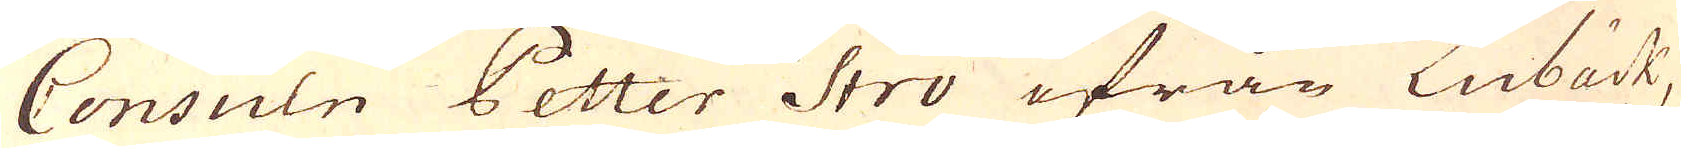Consuln Petter Stro ifrån Lubäck,
